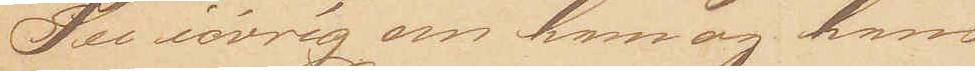See iøvrig om ham og hans
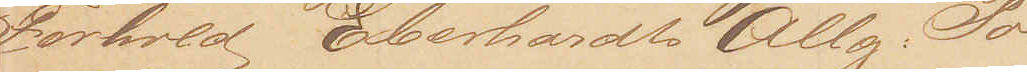Forhold Eberhardt Allg. Poli¬
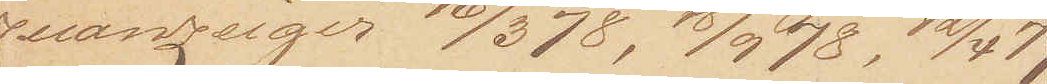zeianzeiger 16/3 78, 18/9 78, 12/4 79,
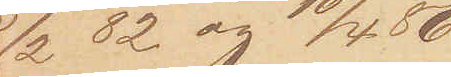5/2 82 og 10/4 86.
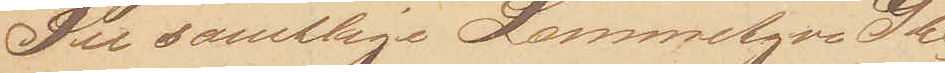See samtlige Lommetyve Gbl.
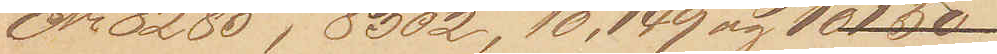No. 8285, 8302, 10,149 og 10150
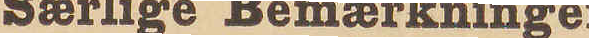Særlige Bemærkninger
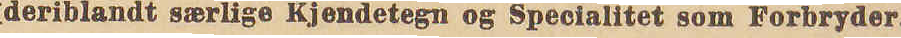(deriblandt særlige Kjendetegn og Specialitet som Forbryder.)
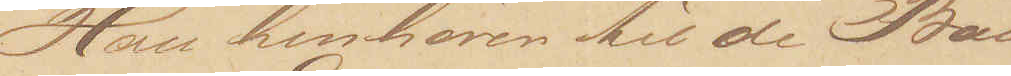Han henhører til de Ban¬
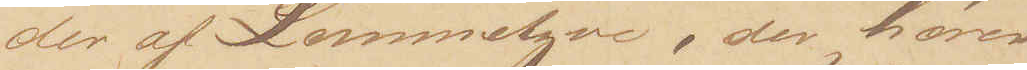der af Lommetyve, der hører
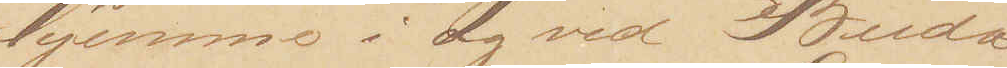hjemme i og ved Buda¬
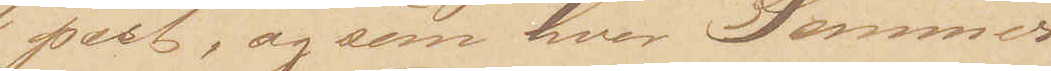pest, og som hver Sommer
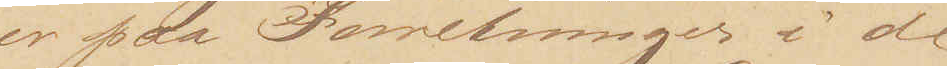er paa Forretninger i de
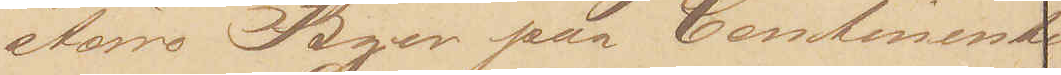større Byer paa Continentet.
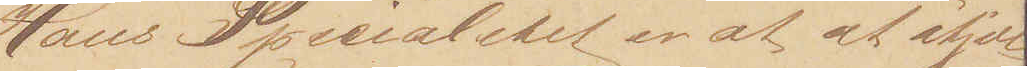Hans Specialitet er at at stjæle
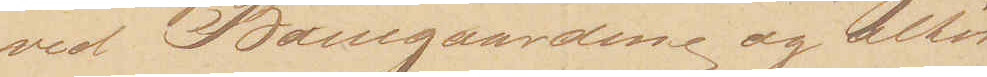ved Banegaardene og altid
